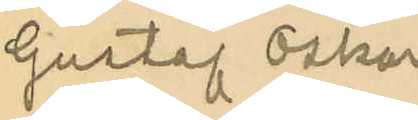Gustaf Oskar
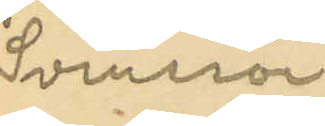Svensson
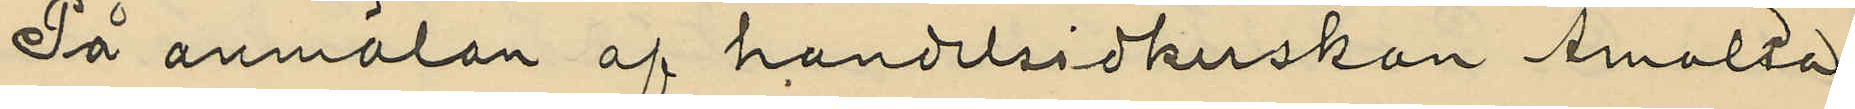På anmälan af handelsidkerskan Amalia
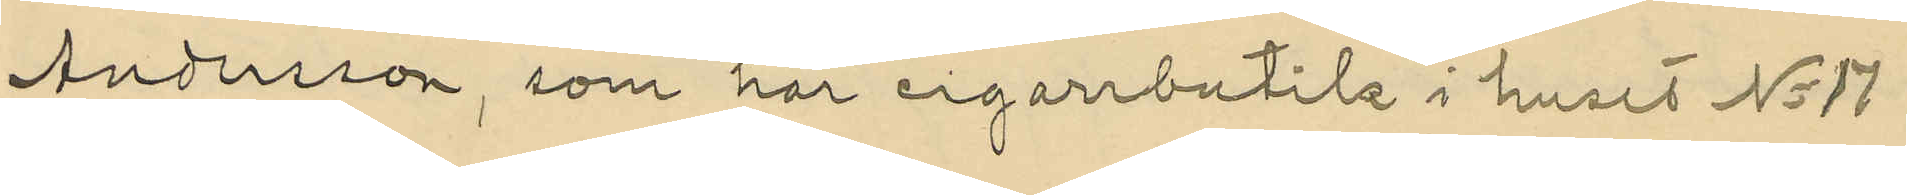Andersson, som har cigarrbutitk i huset No 17
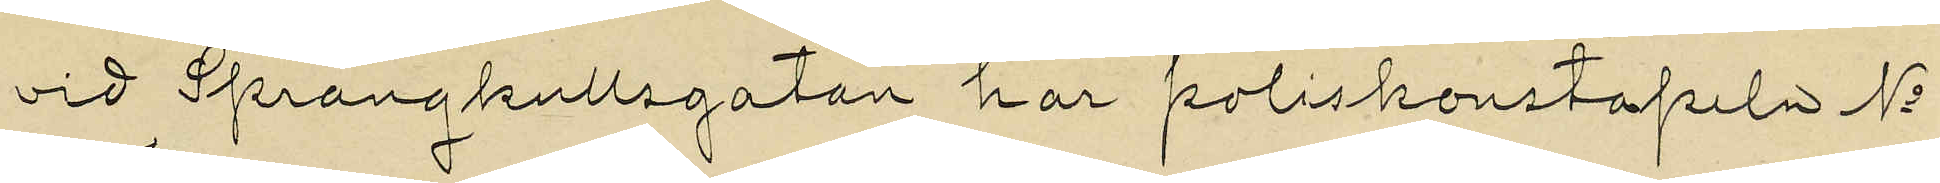vid Sprängkullsgatan har poliskonstapeln No
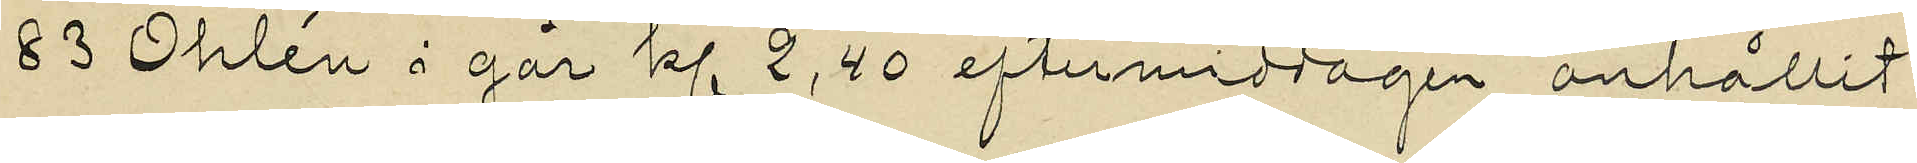83 Öhlén i går kl 2,40 eftermiddagen anhållit
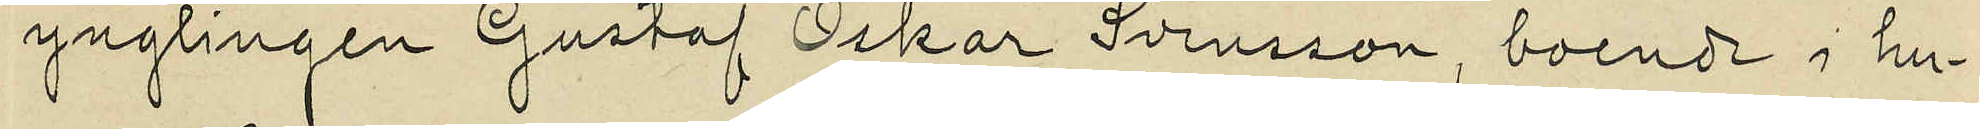ynglingen Gustaf Oskar Svensson, boende i hu¬
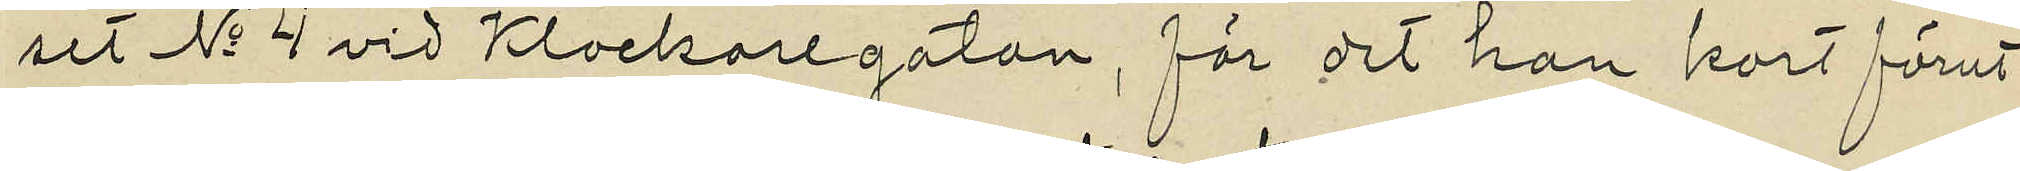set No 4 vid Klockaregatan, för det han kort förut
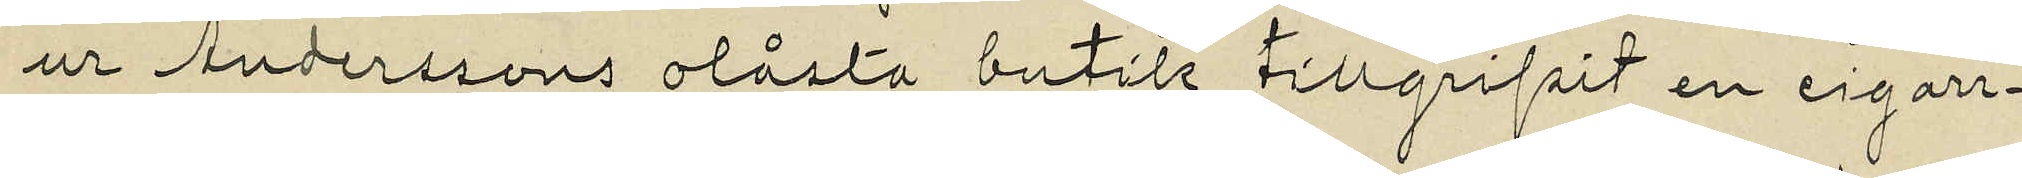ur Anderssons olåsta butik tillgripit en cigarr¬
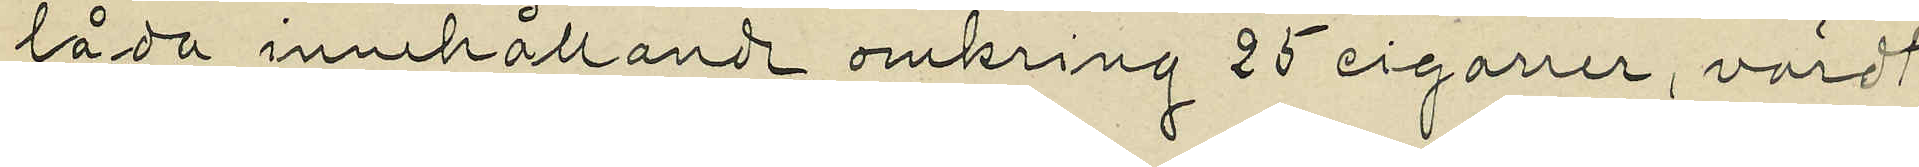låda innehållande omkring 25 cigarrer, värdt
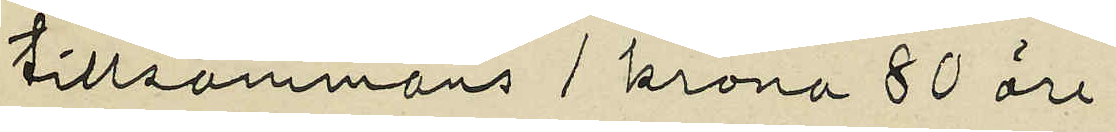tillsammans 1 krona 80 öre.
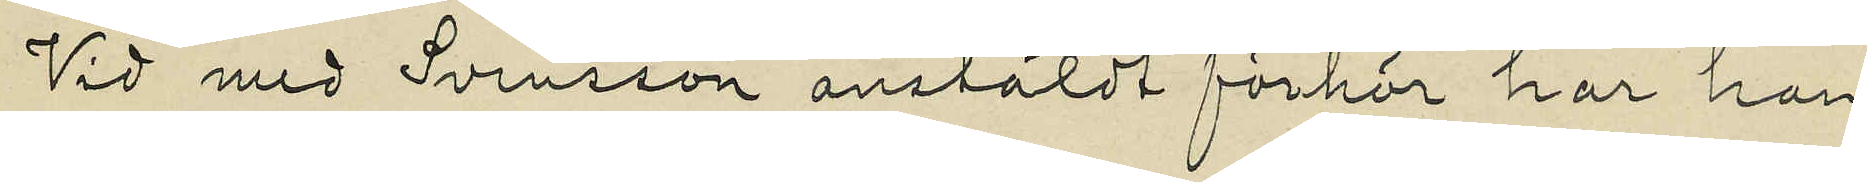Vid med Svensson anstäldt förhör har han
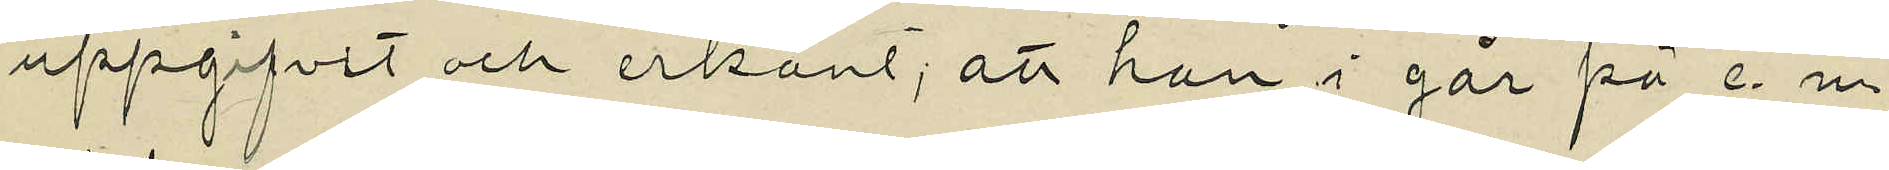uppgifvit och erkänt; att han i går på e. m.
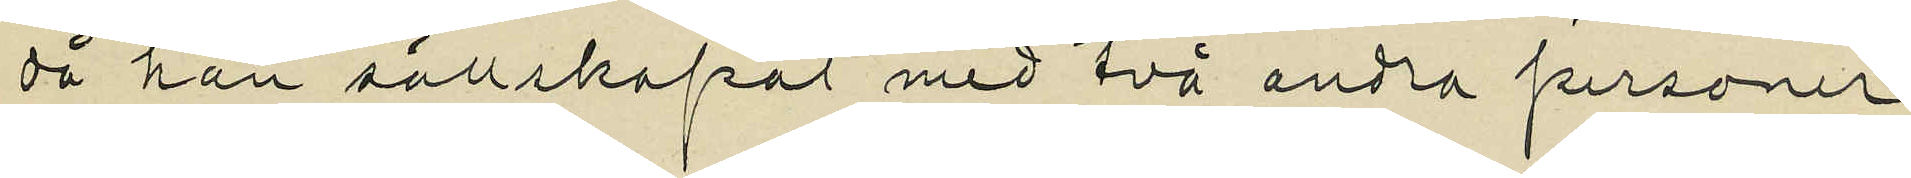då han sällskapat med två andra personer
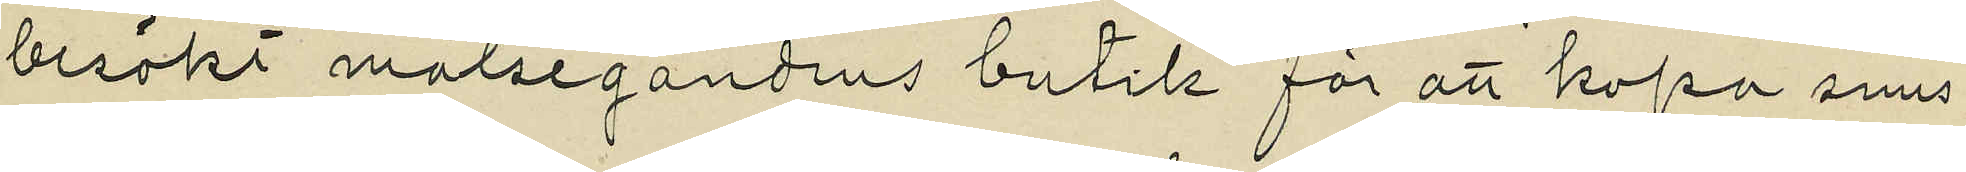besökt målsegandens butik för att köpa snus
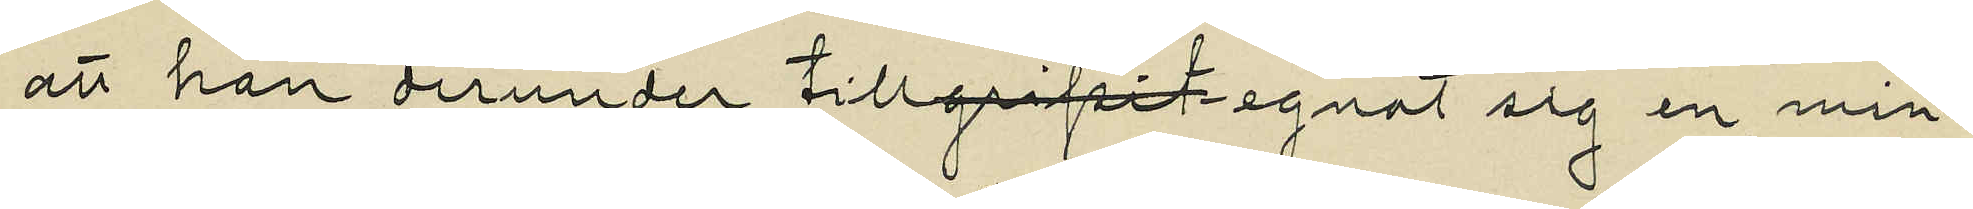att han derunder tillegnat sig en min¬
